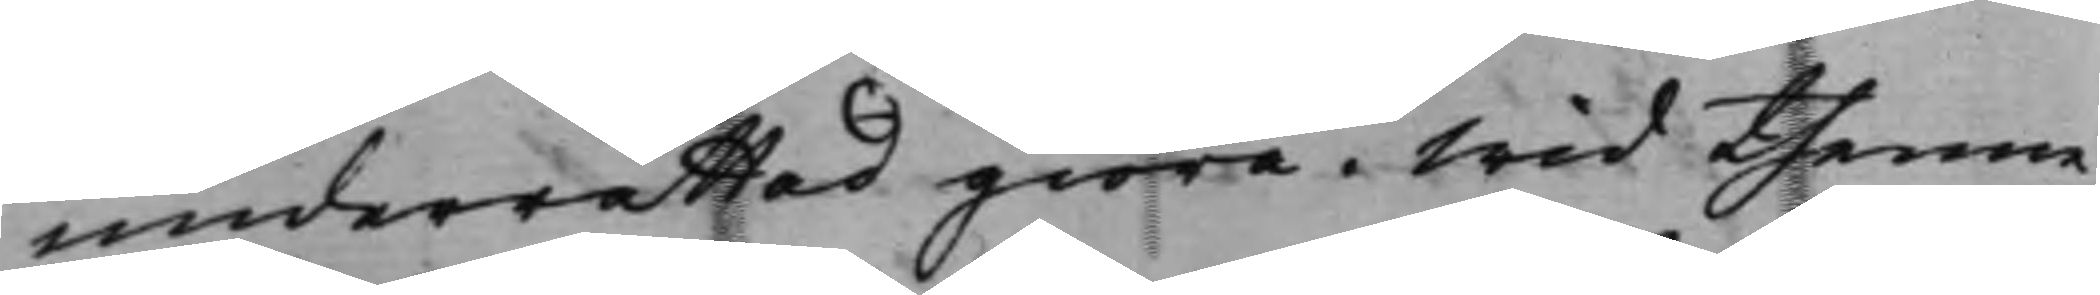underrättad giöra. Wid thenne
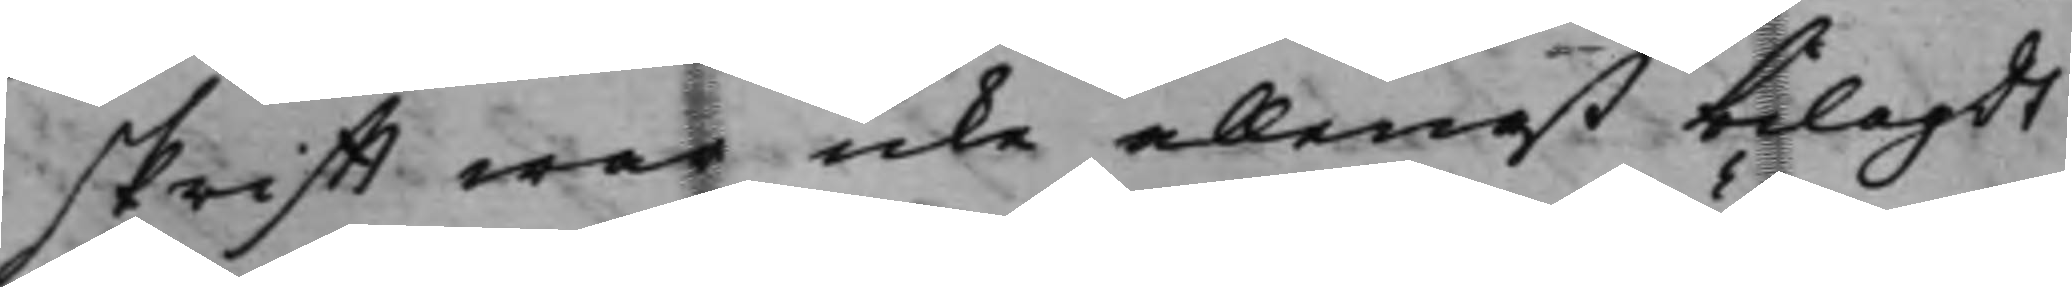skrifft war icke allenast bilagdt
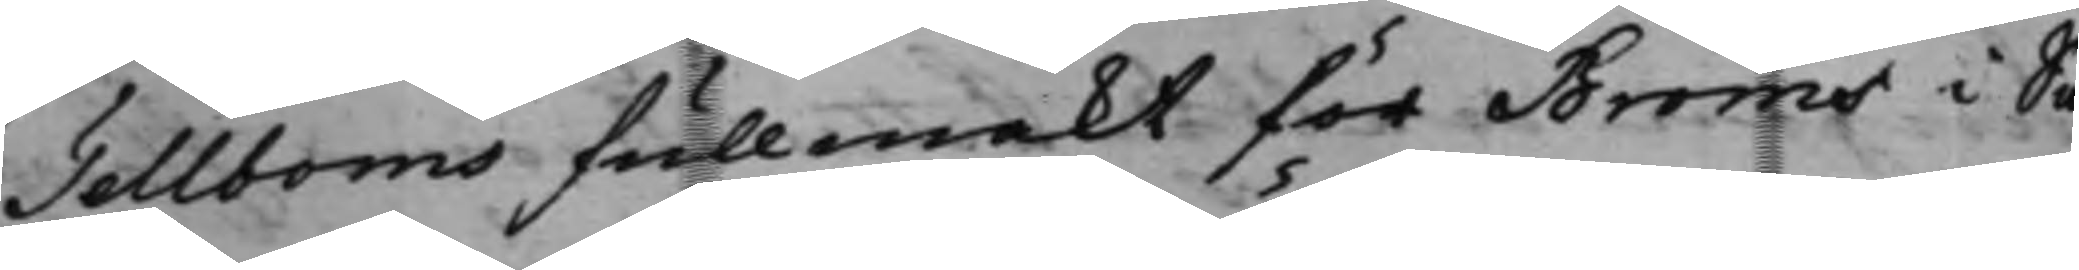Tellboms fullmakt för Bröms i Sa¬
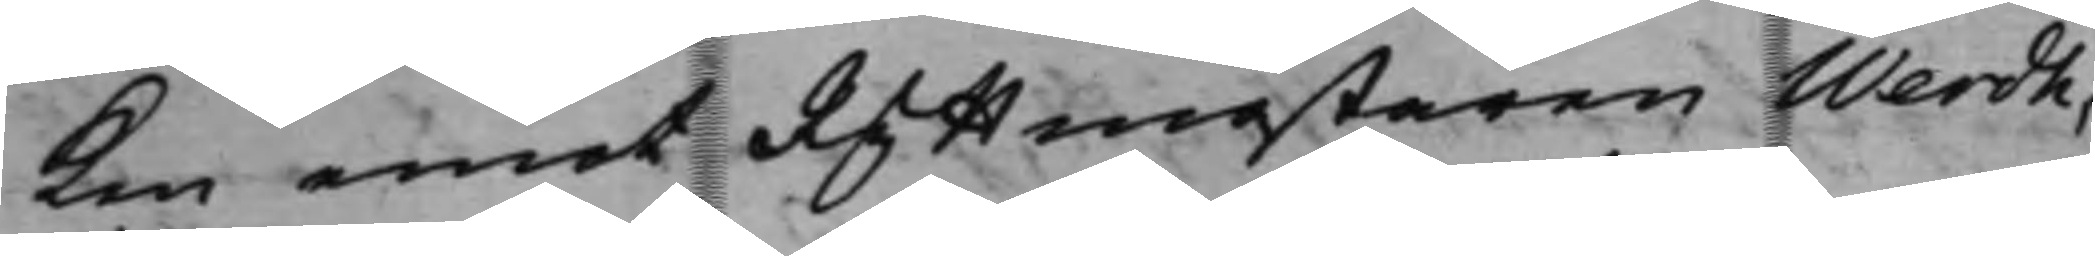ken emot Ryttmästaren Werdh,
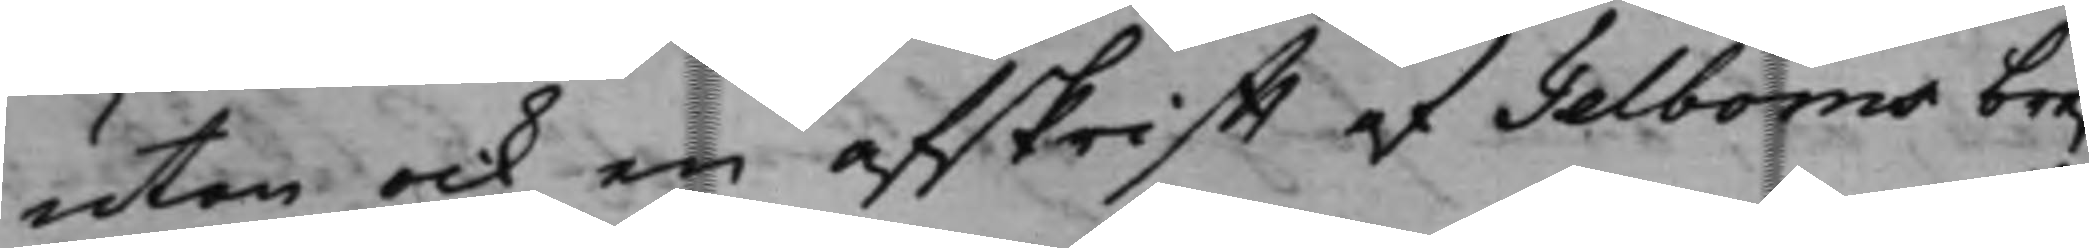utan ock en afskrifft af Telboms bref
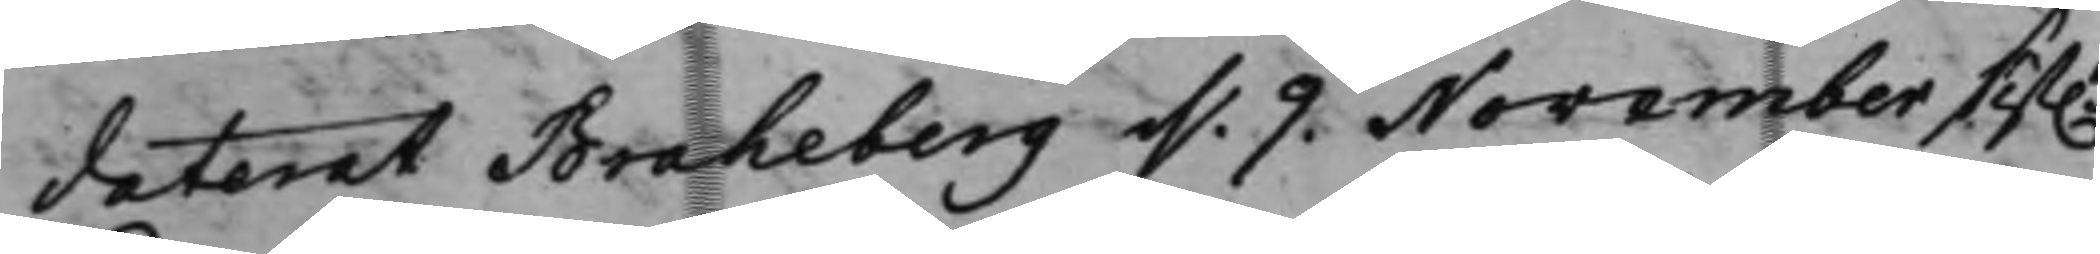daterat Braheberg d. 9 November sist.e
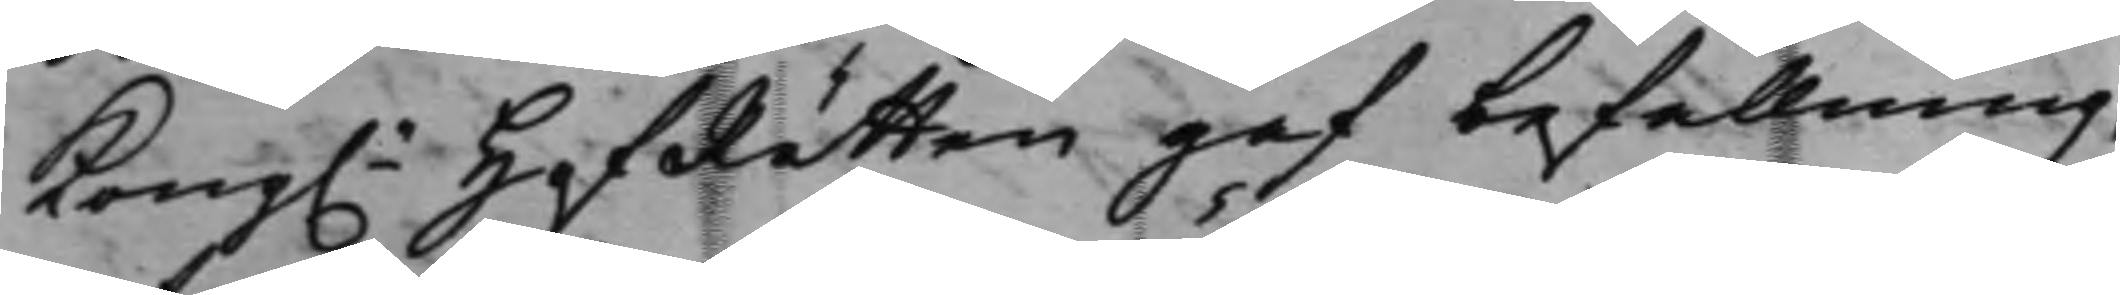Kong.e HofRätten gaf befallning,
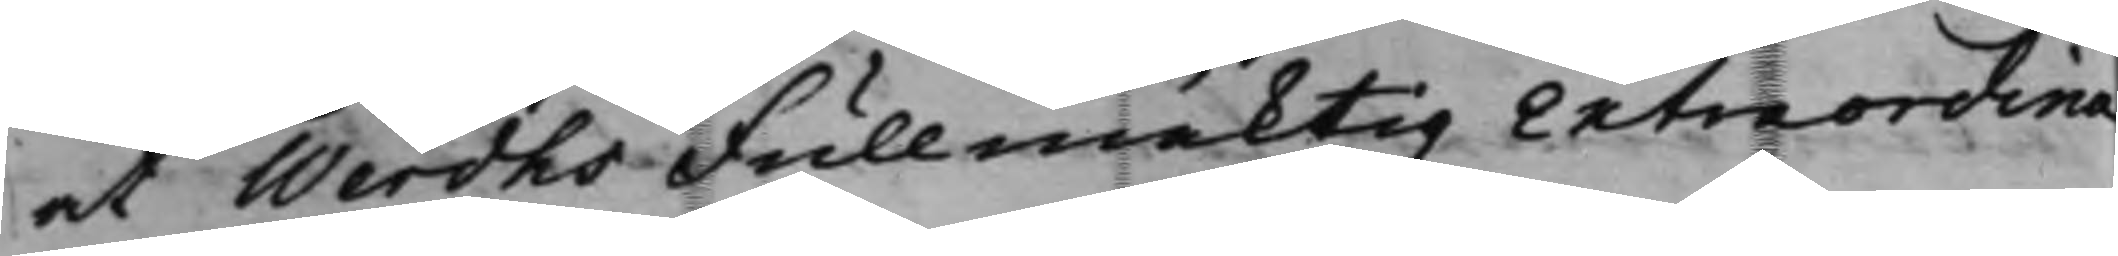at Werdhs Fullmäktig Extraordina¬
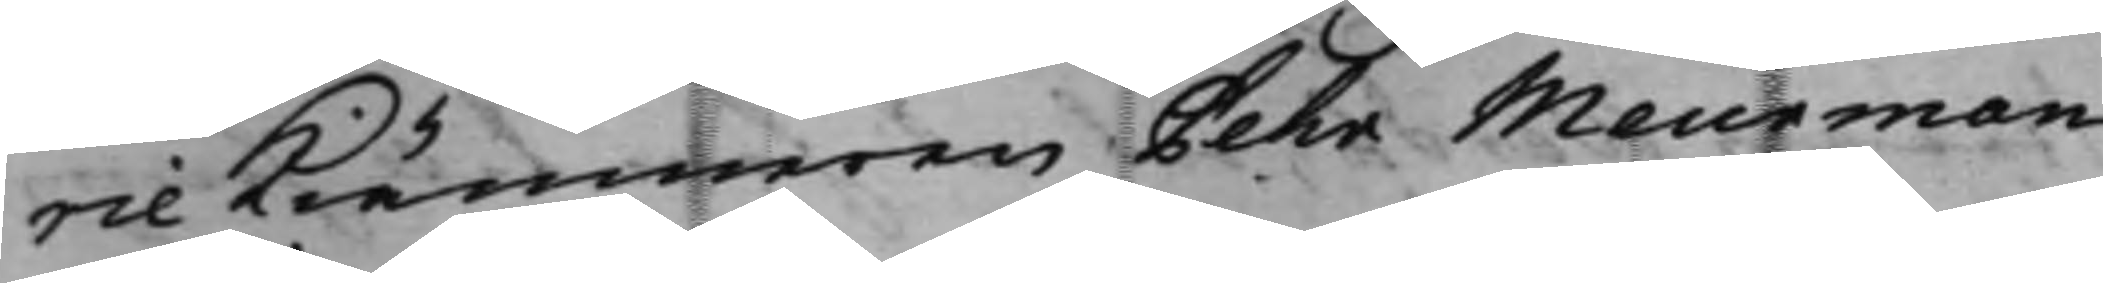rie Kiämneren Pehr Meurman
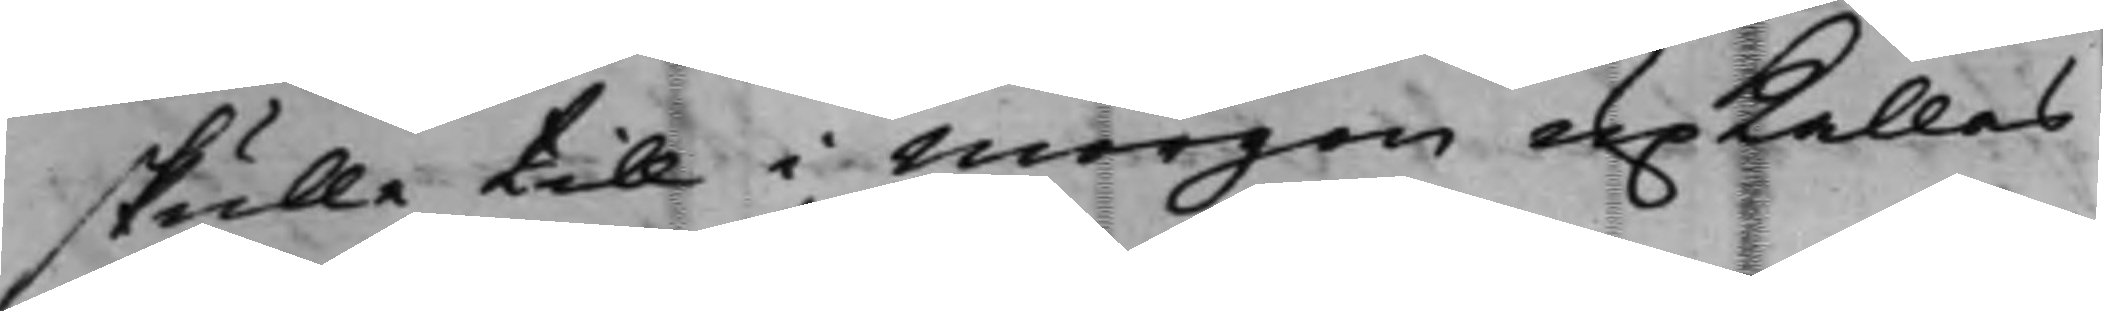skulle till i morgon upkallas
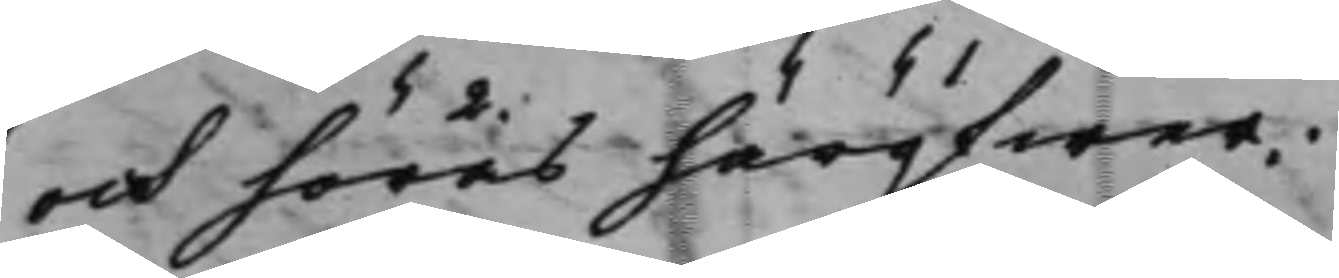och höras häröfwer.
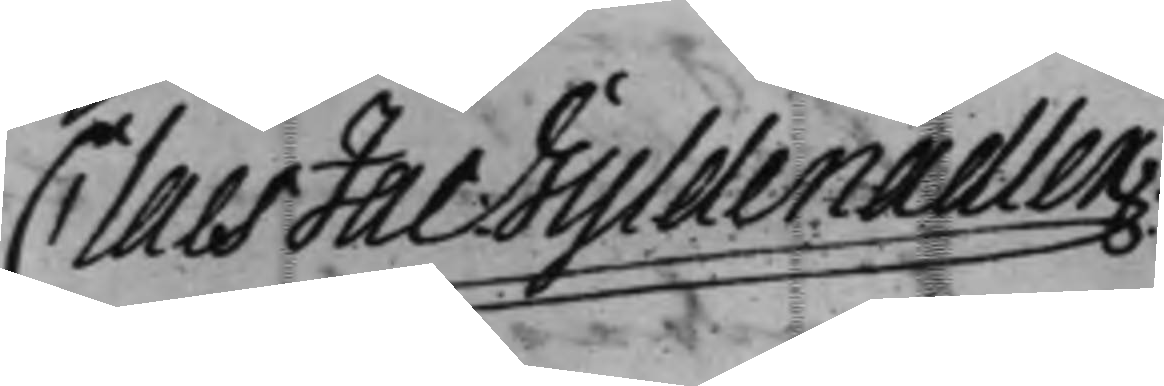Claes Jac: Gyldenadler
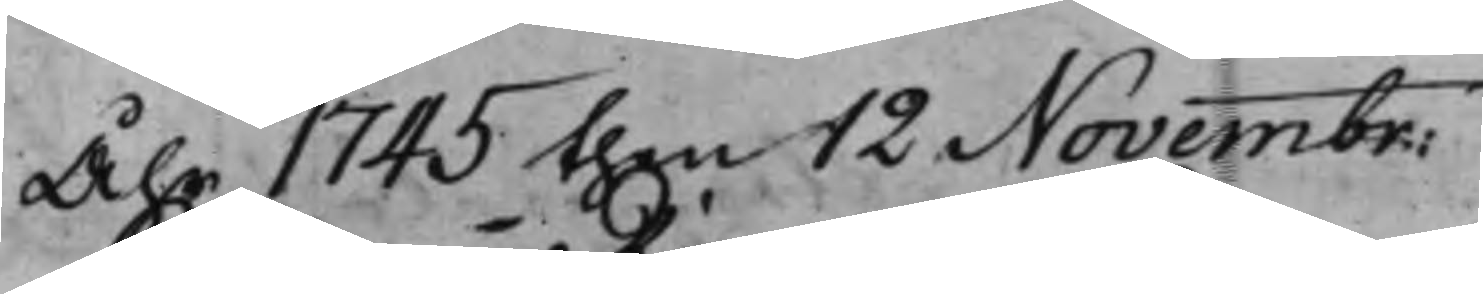Åhr 1745 then 12 Novembr:
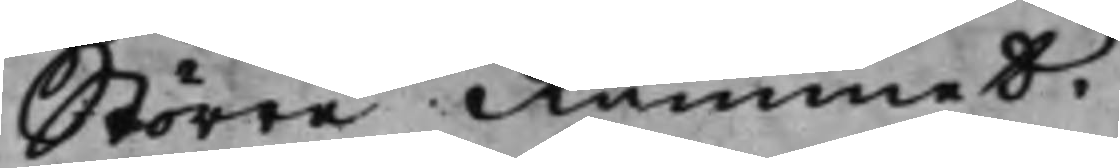Större Rummet.
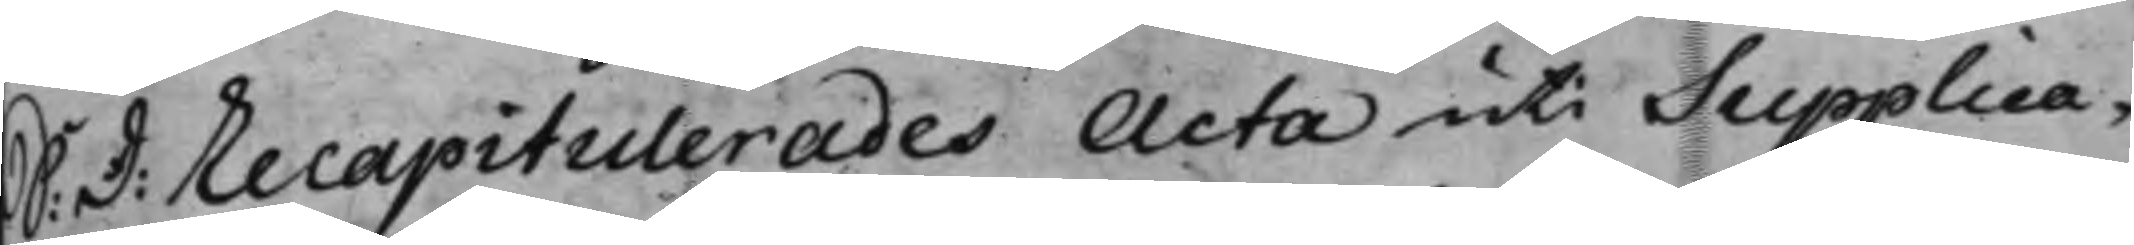S: D: recapitulerades Acta uti Supplica¬
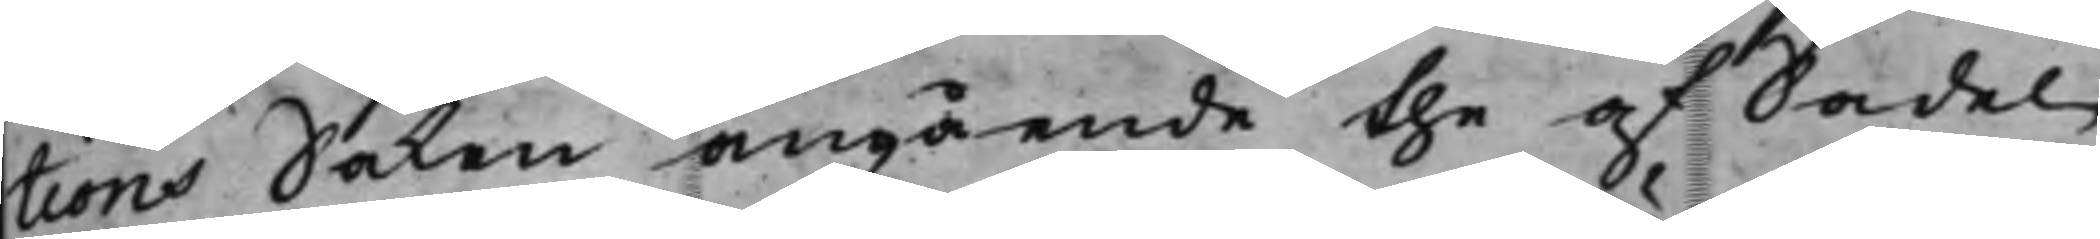tions Saken angående the af Sadel¬
